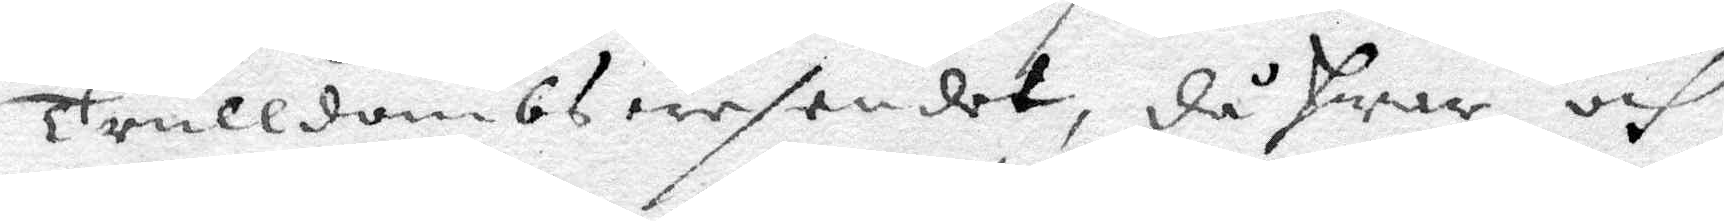trulldoms wesendet, då hwar och
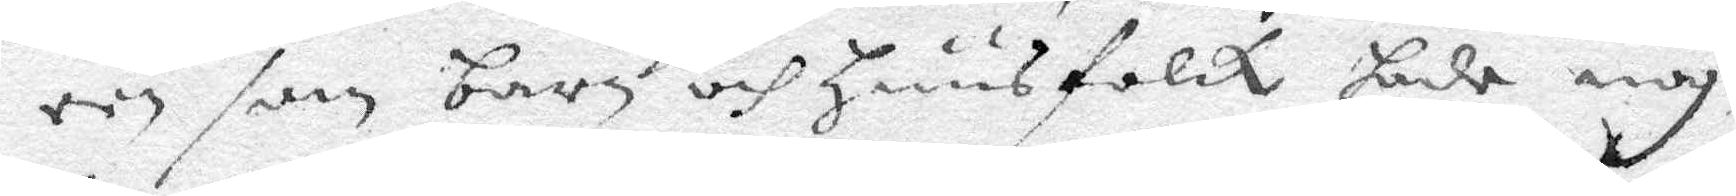een som barn och huusfolck hade nog¬
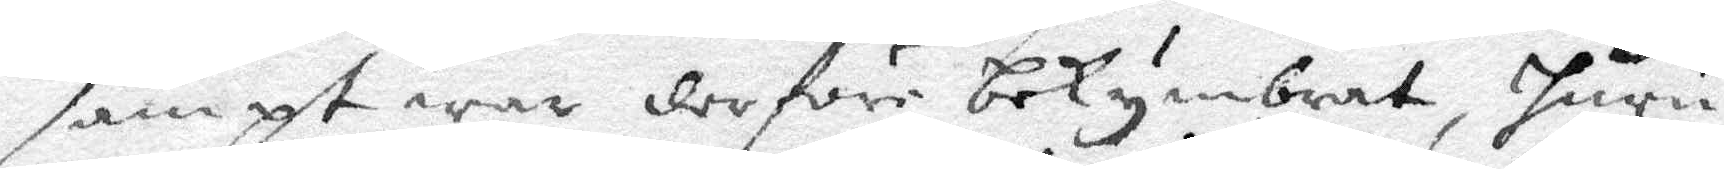sampt war derföre bekymbrat, huru
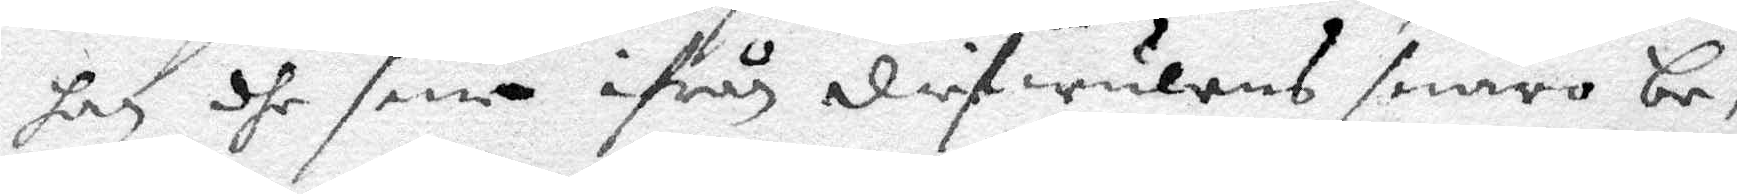han dhe sine ifrån diefwulens snaro be¬
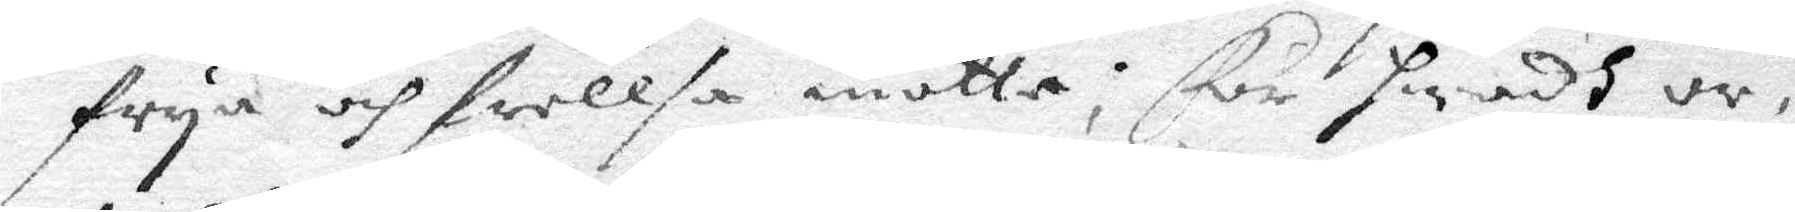frya och frellsa motte; För hwadh or¬
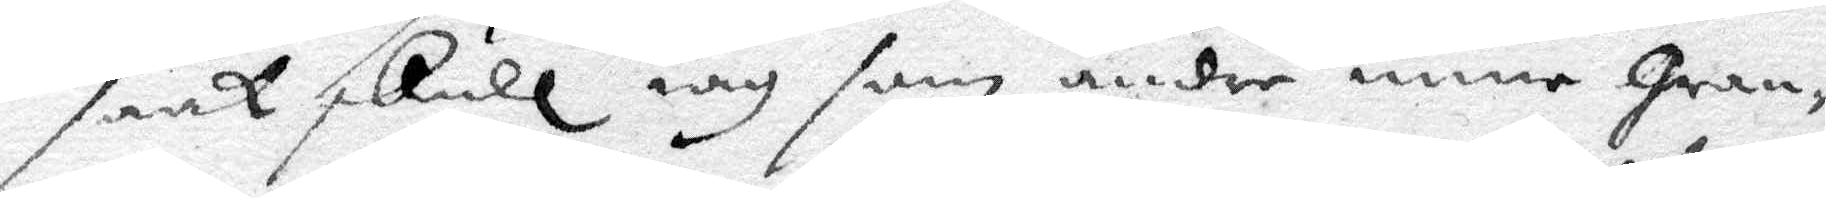sak skull iag som andre mine gran¬
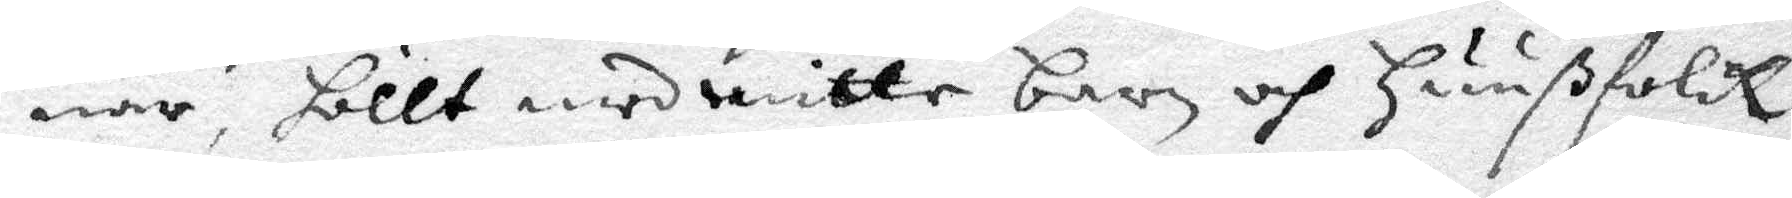nar, höllt med mitte barn och huußfolck
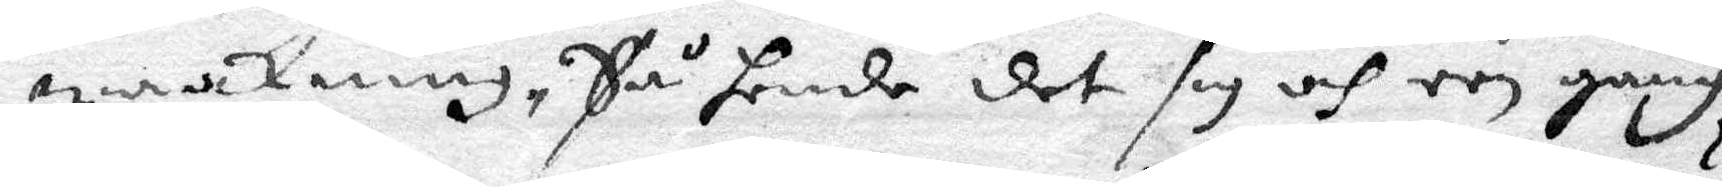waakning, Så hende det sig och een gång
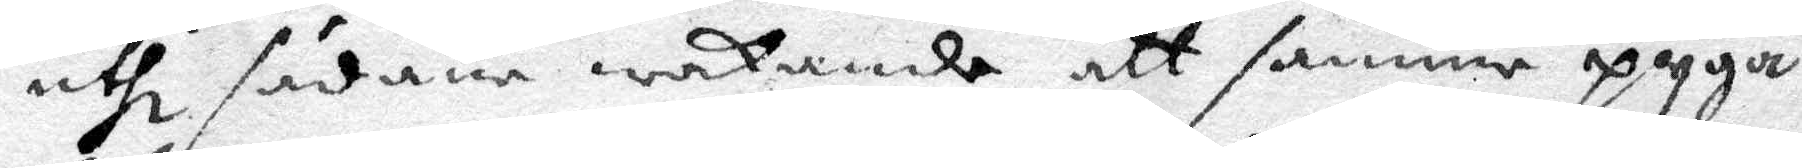uthi sådana wakande att samme Pyga
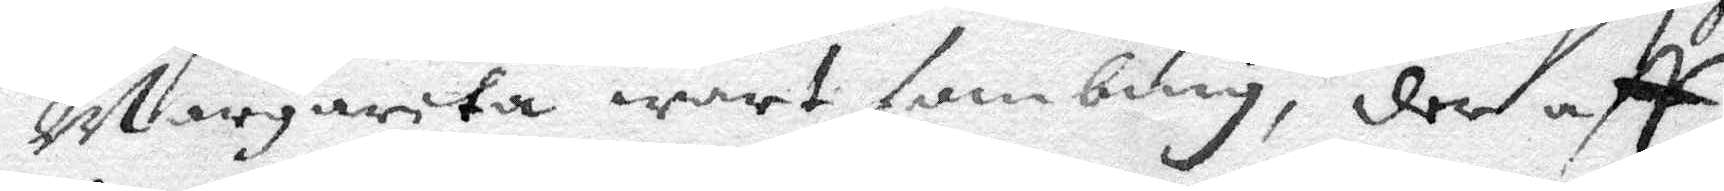Margareta wart sambnig, der aff
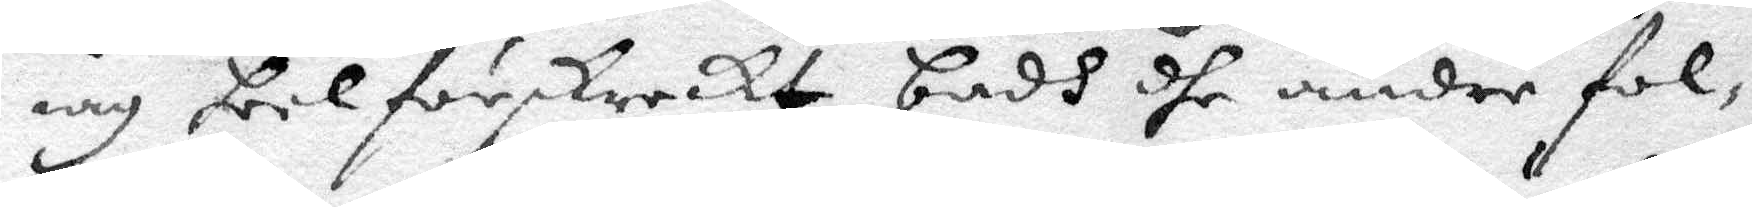iag tilförskreckt badh dhe andre fol¬
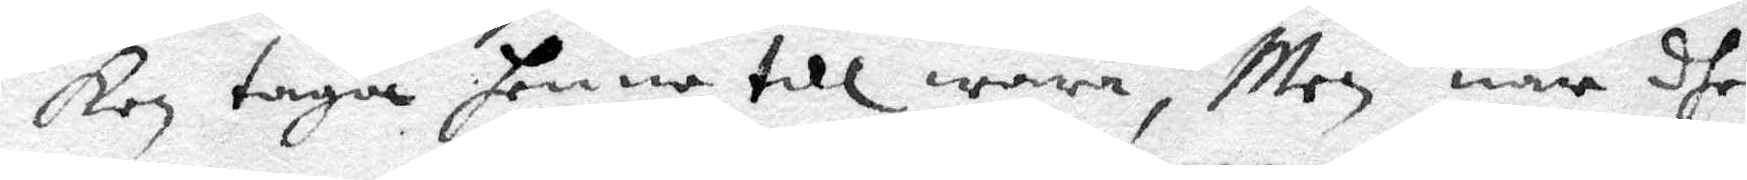ken taga henne till wara, Men när dhe
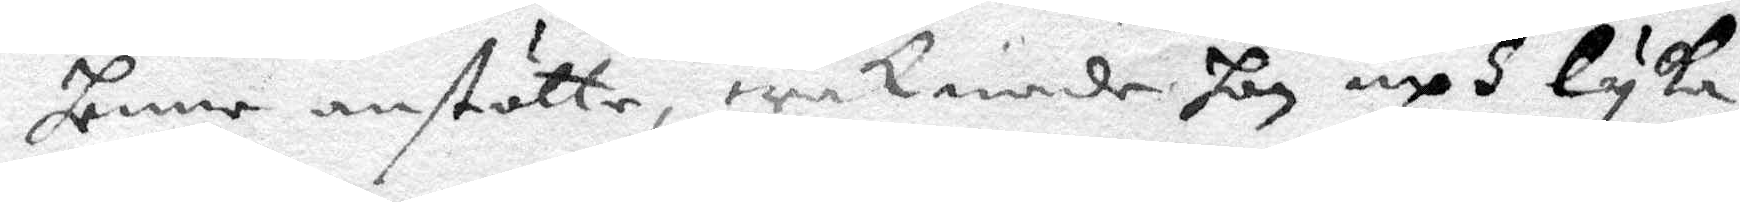henne ansätte, waknade hon uph lyka
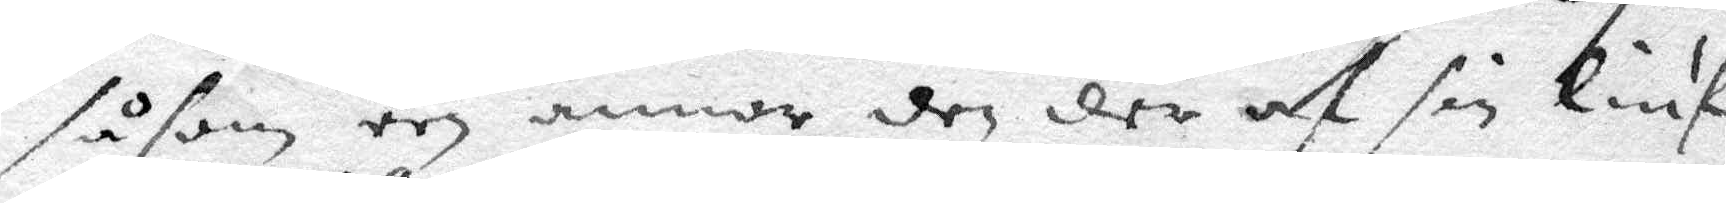såsom een annor den der af sin liuf¬
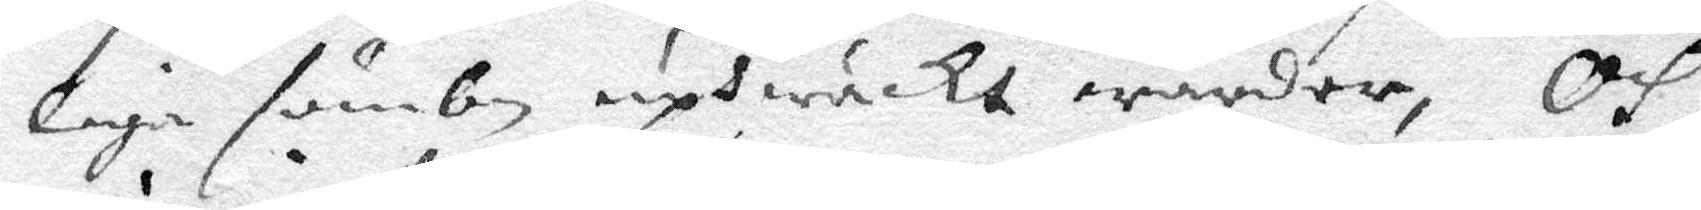liga sömbn uphwäckt warder, Och
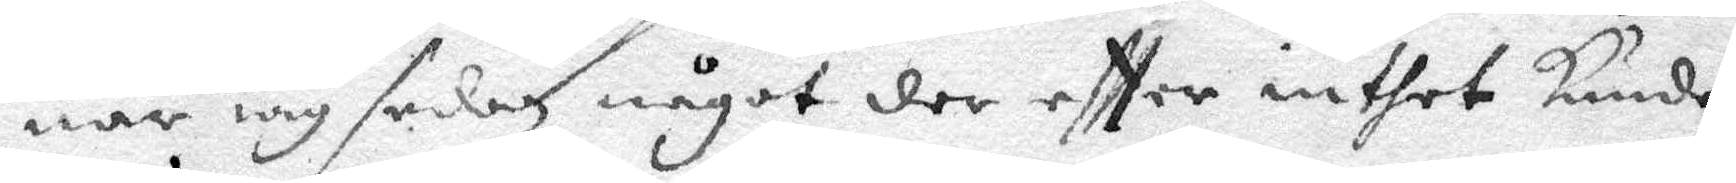nr iag sedan något der eftter inthet kunde
